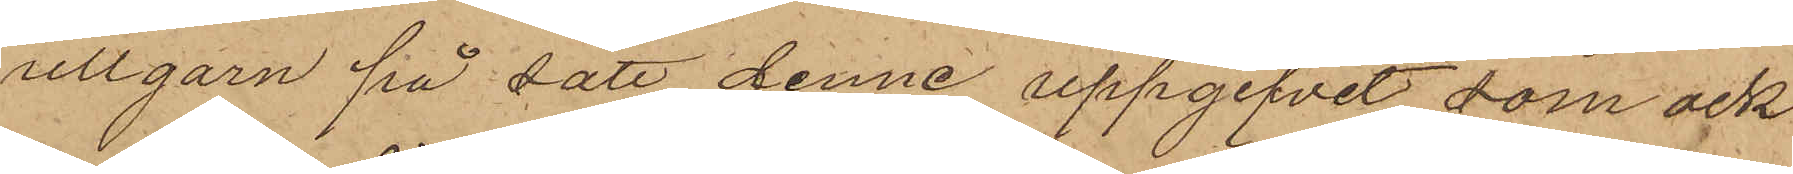ullgarn på sätt denne uppgifvit som ock
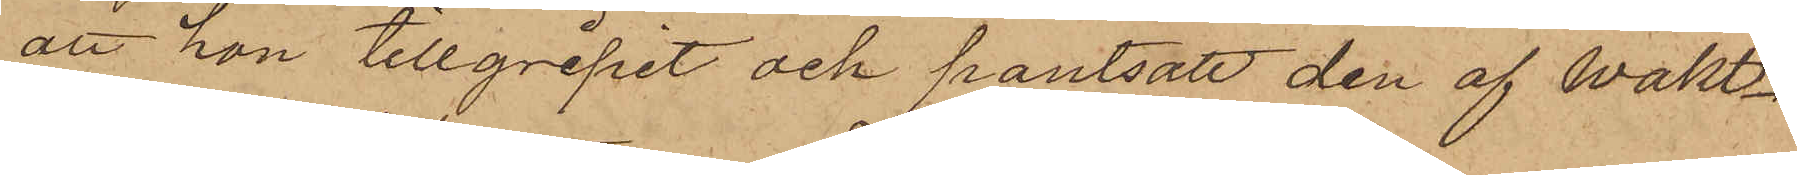att hon tillgripit och pantsatt den af Wakt¬
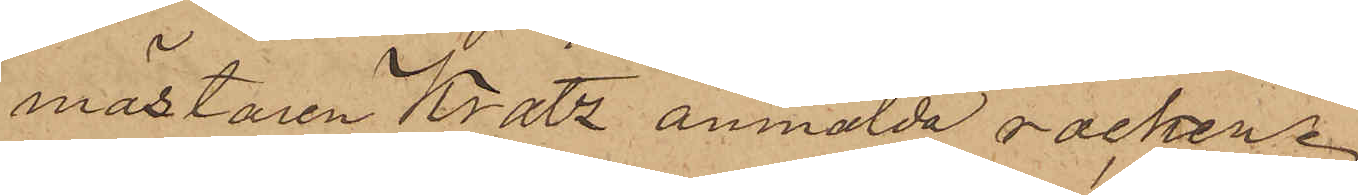mästaren Kratz anmälda rocken.
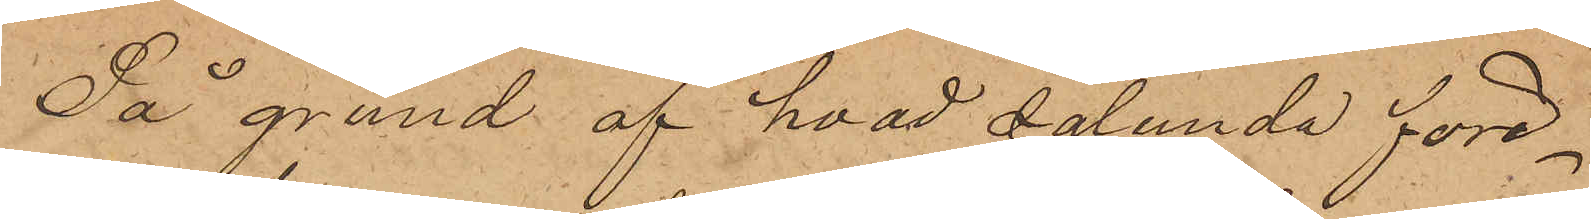På grund af hvad sålunda före¬
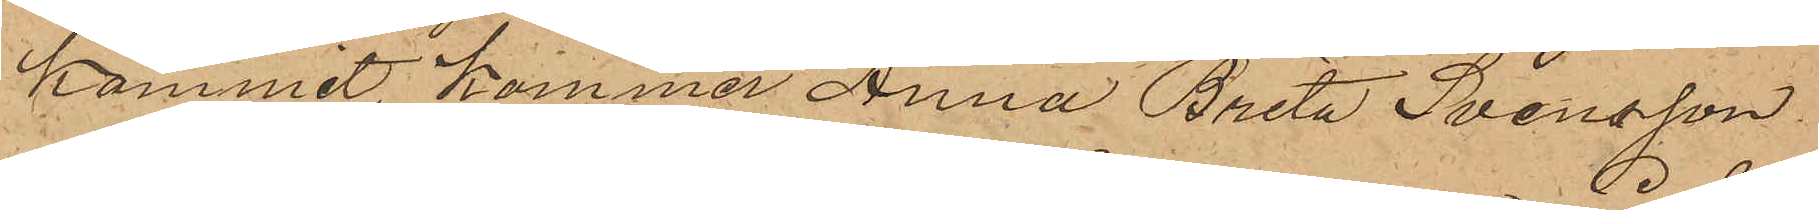kommit ,kommer Anna Brita Svensson
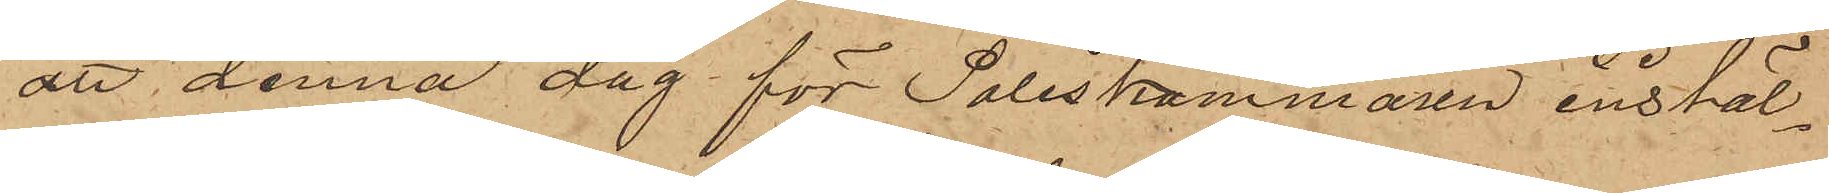att denna dag för Poliskammaren instäl¬
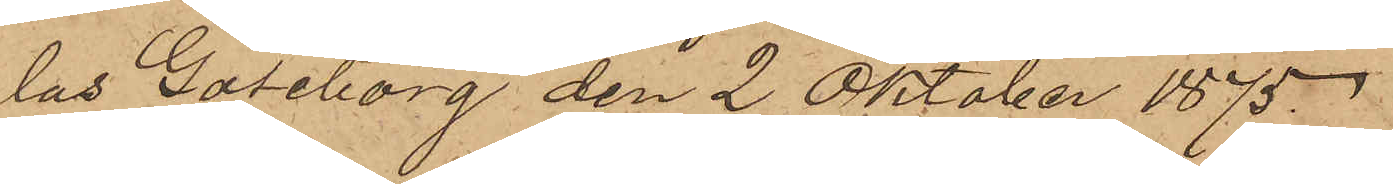las Göteborg den 2 Oktober 1875
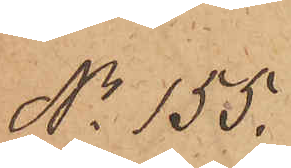No 155.
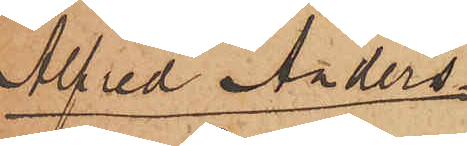Alfred Anders¬
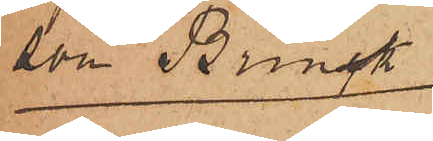son Brink
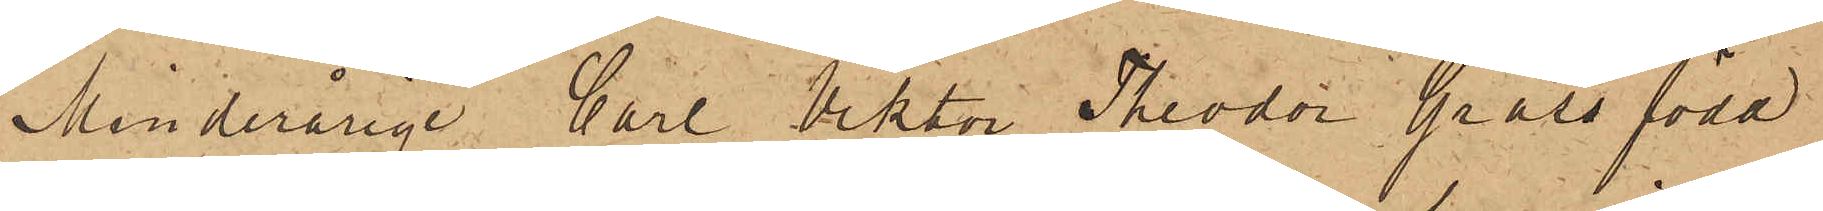Minderårige Carl Viktor Theodor Grass född
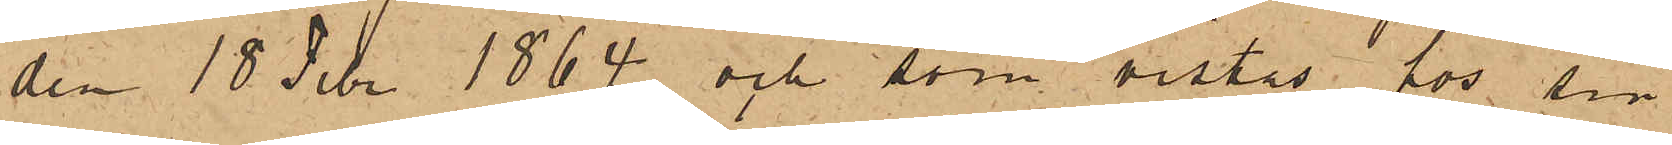den 18 Febr. 1864 och som vistas hos sin
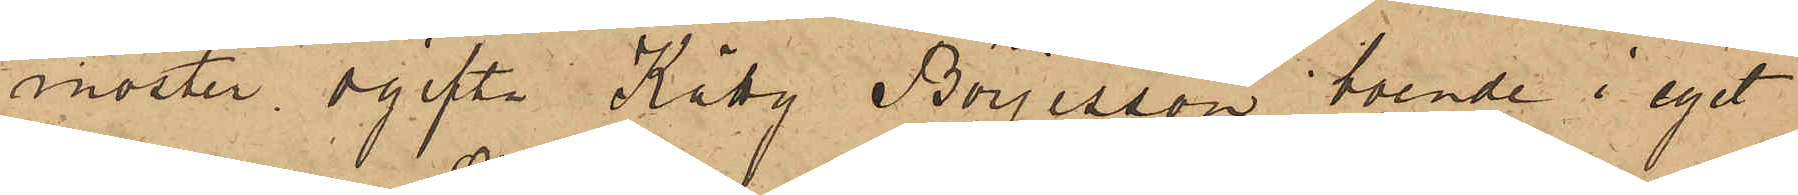moster ogifta Kätty Börjesson, boende i eget
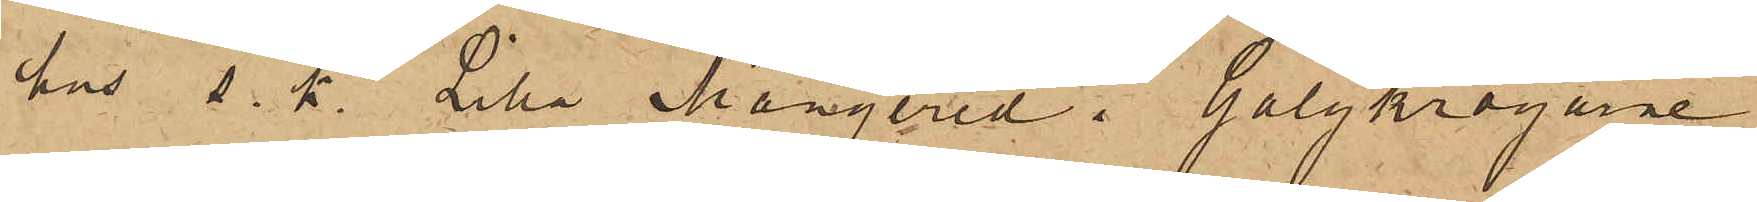hus s. k. Lilla Mangered i Galgkrogarne
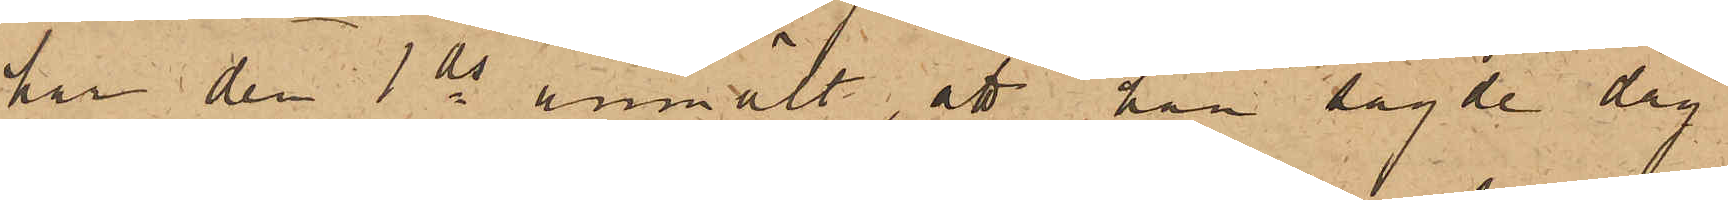han den 1 ds anmält, att han sagde dag
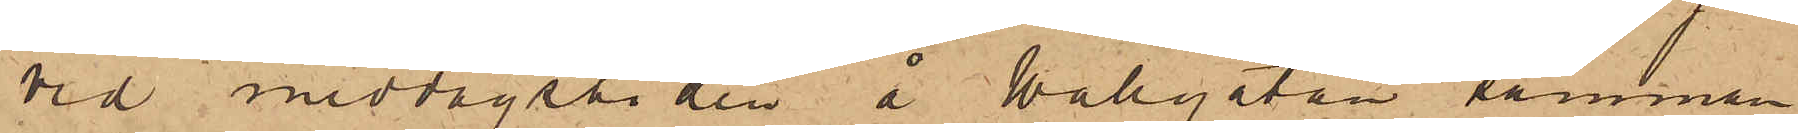vid middagstiden å Wallgatan, samman¬
